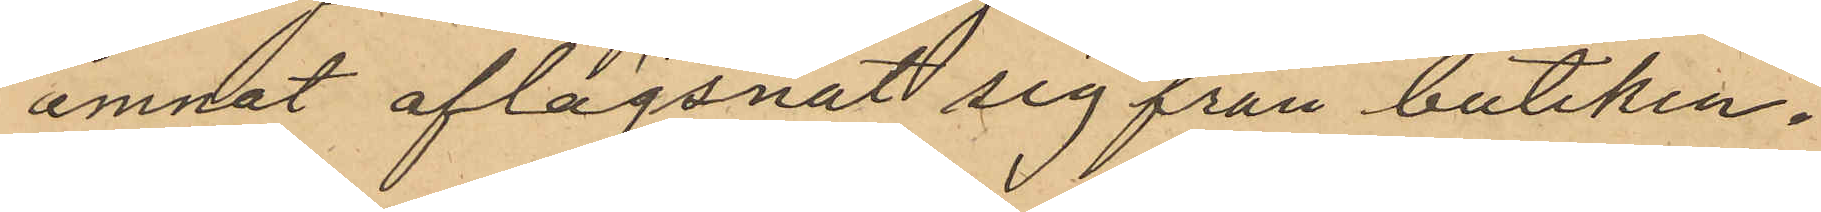ämnat aflägsnat sig från butiken.
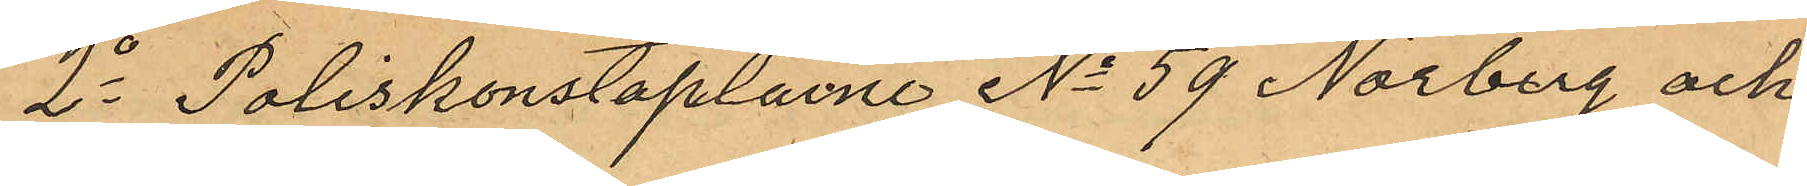2o Poliskonstaplarne No 59 Norberg och
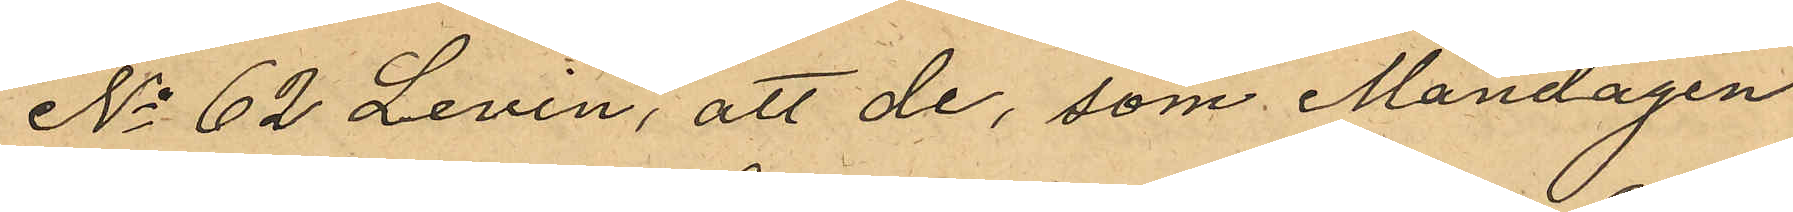No 62 Levin, att de, som Måndagen
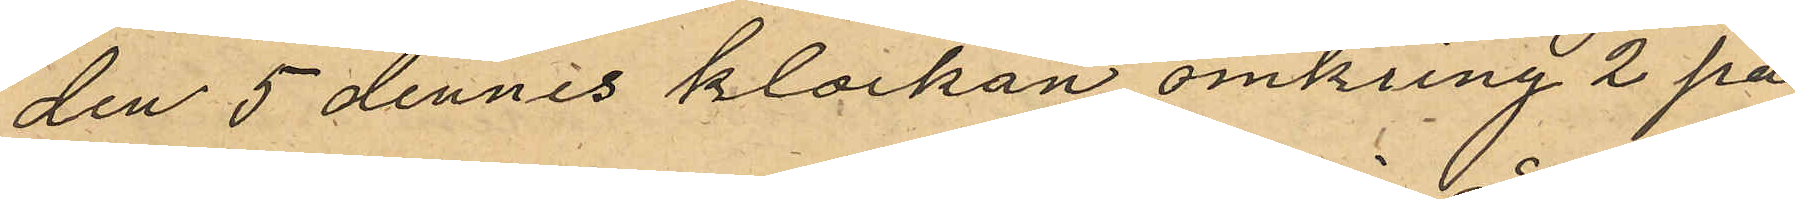den 5 dennes klockan omkring 2 på
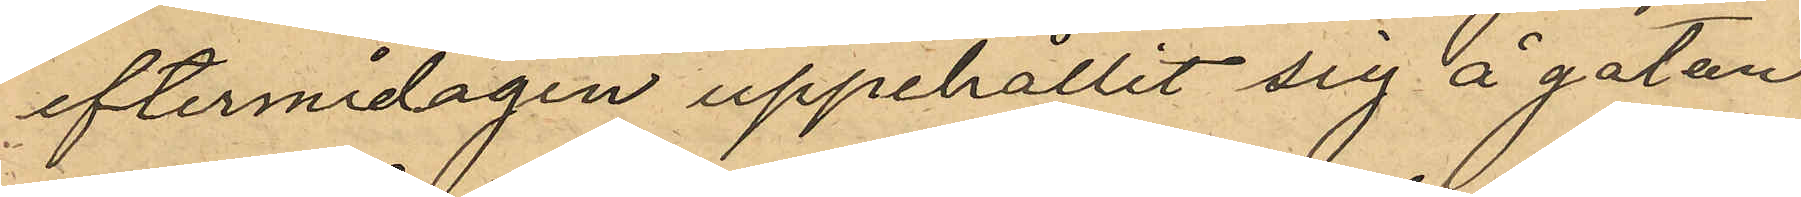eftermidagen uppehållit sig å gatan
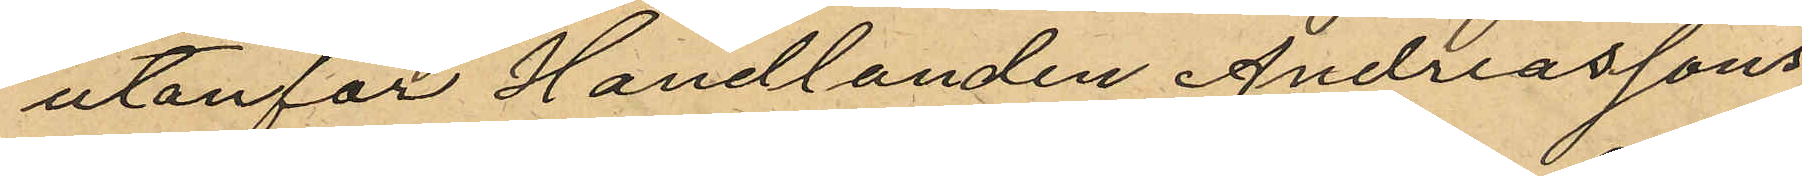utanför Handlanden Andreassons
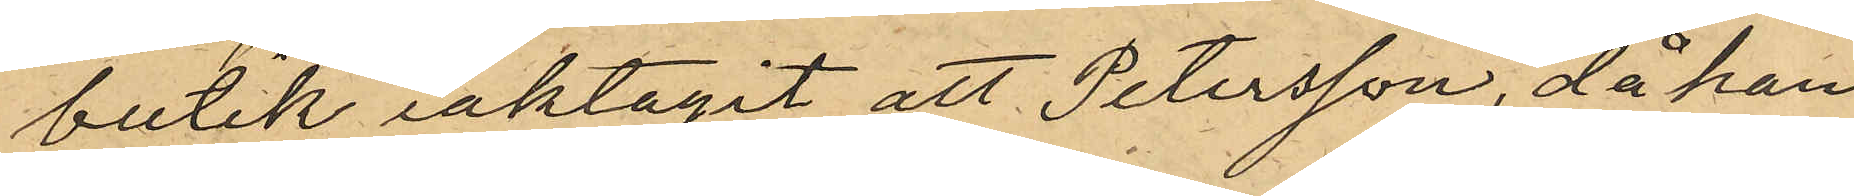butik iaktagit att Petersson, då han
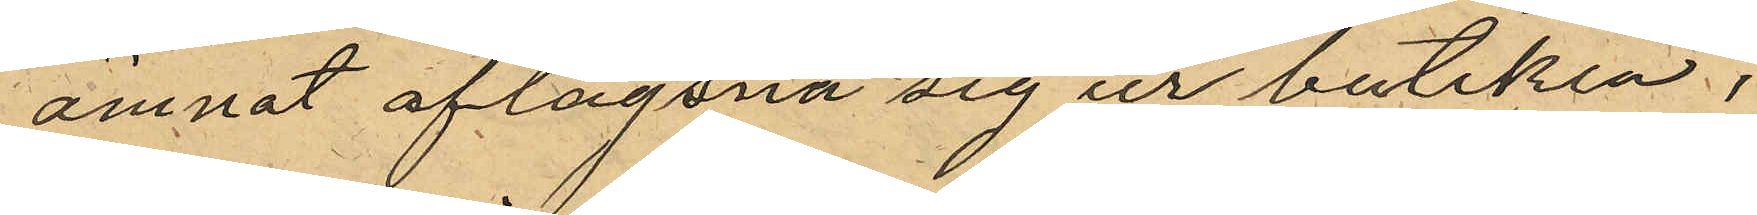ämnat aflägsna sig ur butiken;
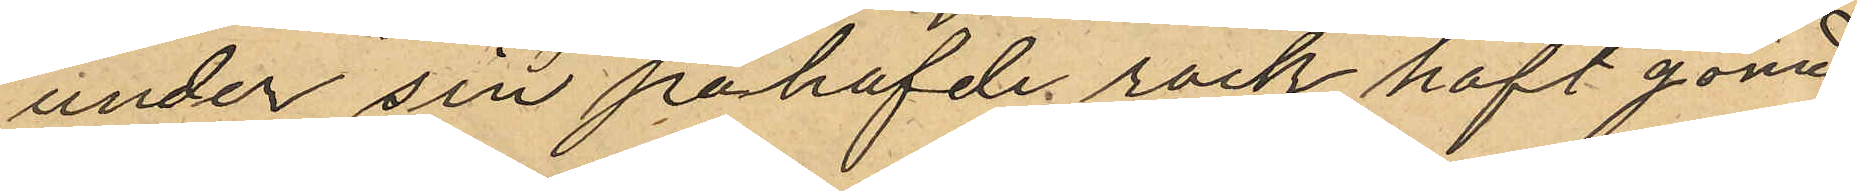under sin påhafde rock haft gömd
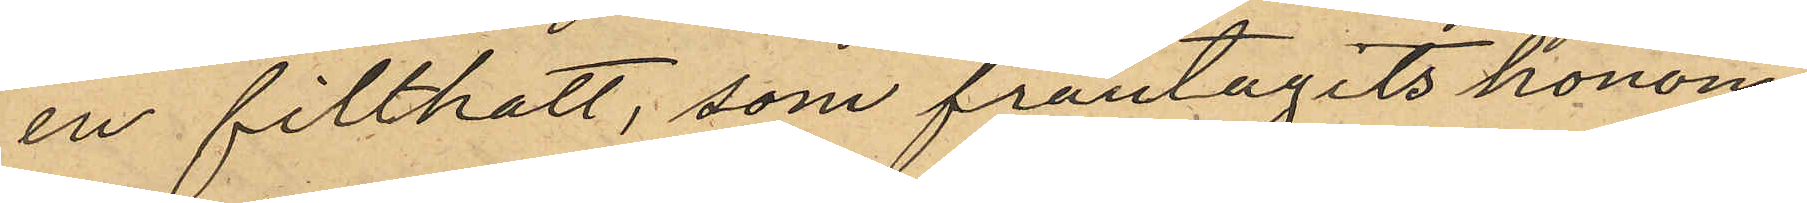en filthatt, som fråntagits honom
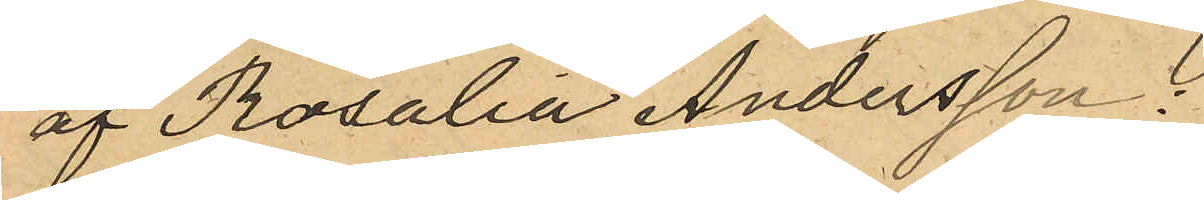af Rosalia Andersson
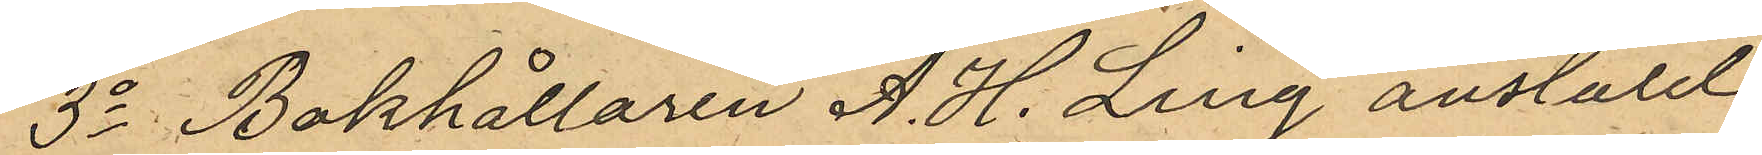3o Bokhållaren A. H. Ling anstäld
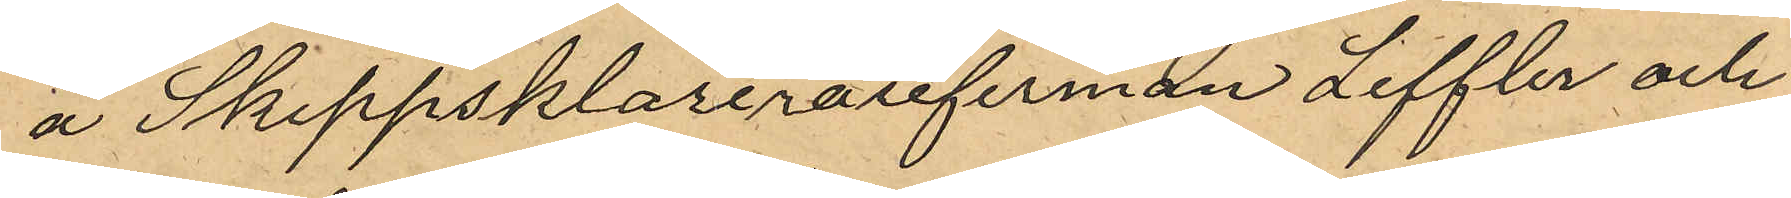å Skeppsklarerarefirman Leffler och
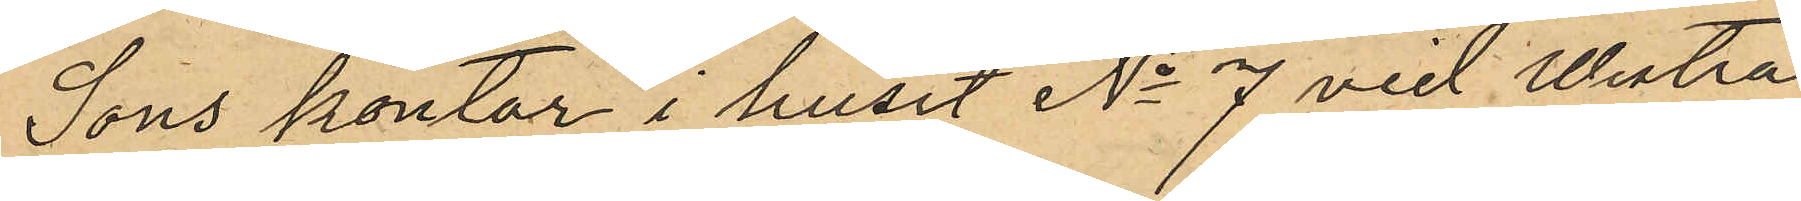Sons kontor i huset No 7 vid Westra
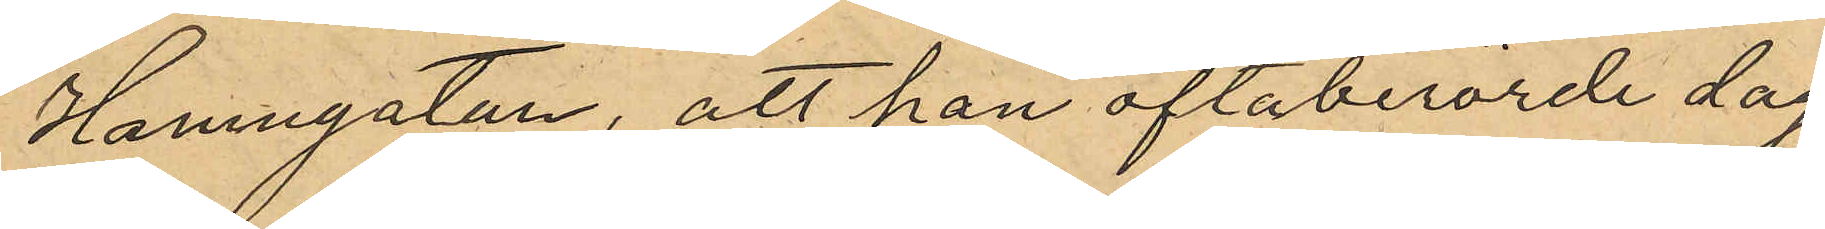Hamngatan, att han oftaberörde dag
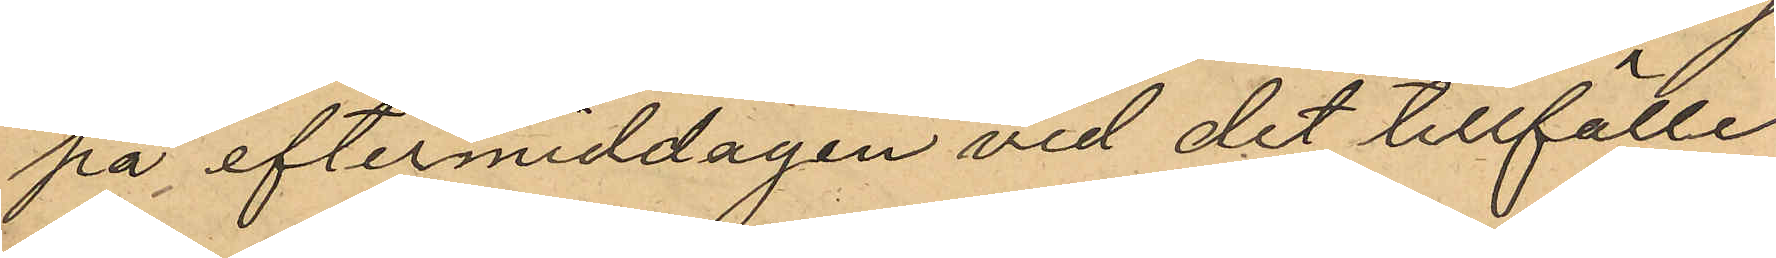på eftermiddagen vid det tillfälle
